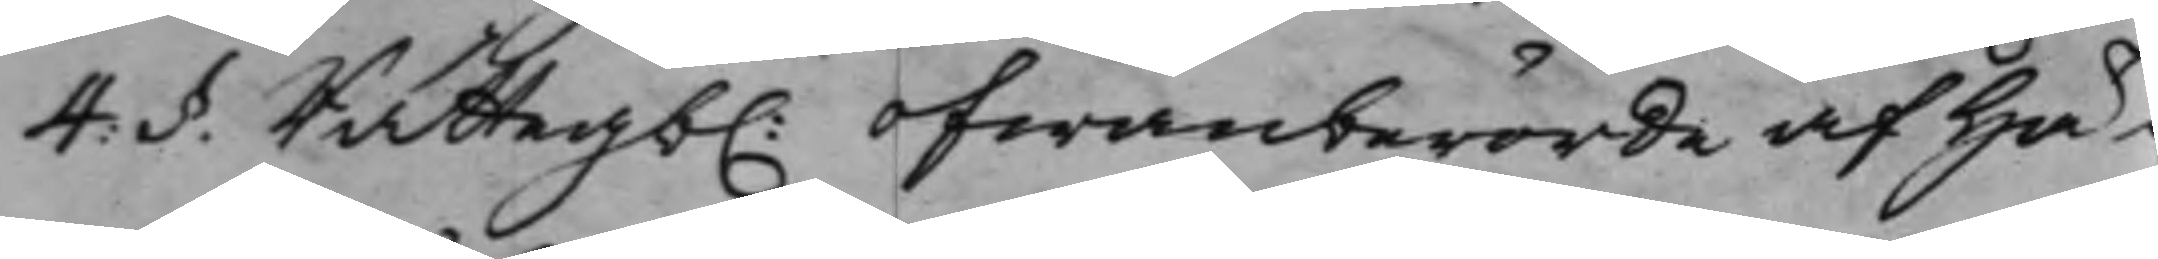4: §. Rättegb. ofwanberörde af Hä¬
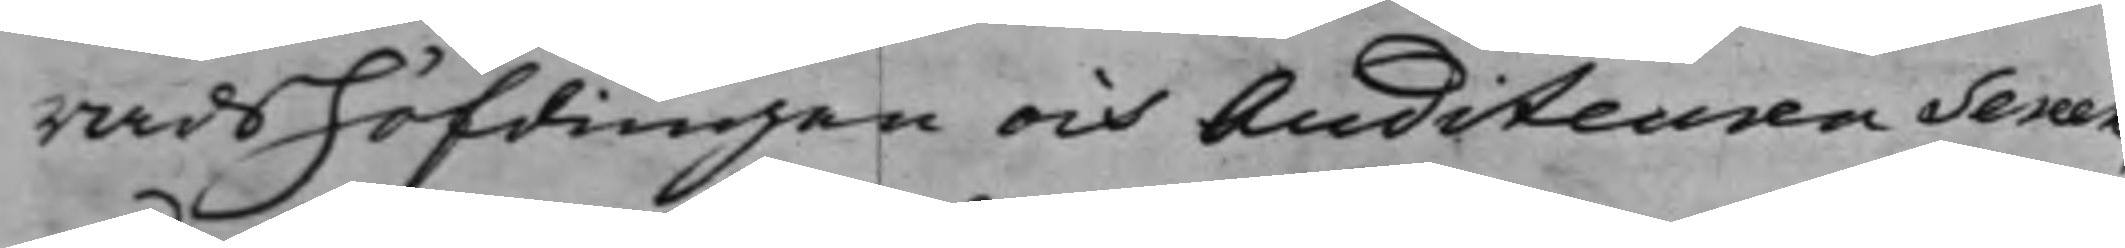radshöfdingen och Auditeuren Sereen,
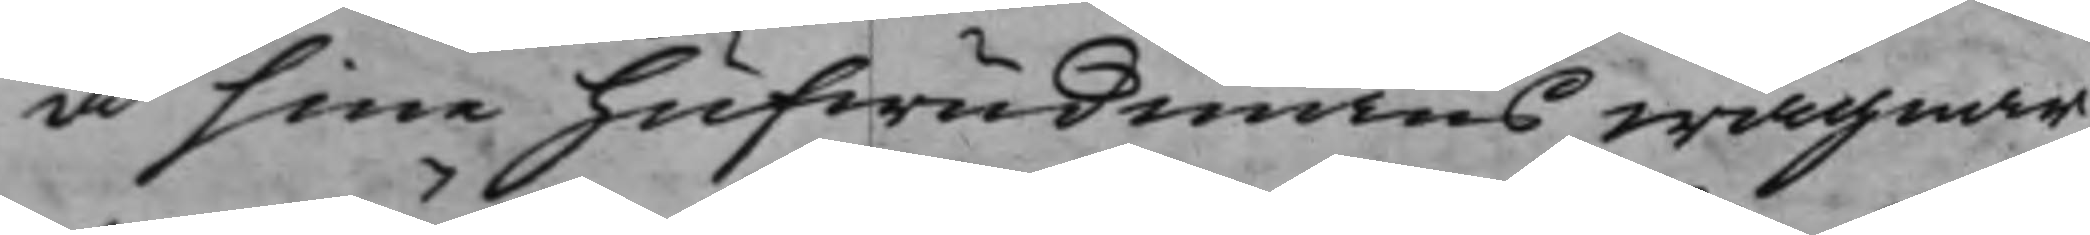å sine hufwudmäns wägnar,
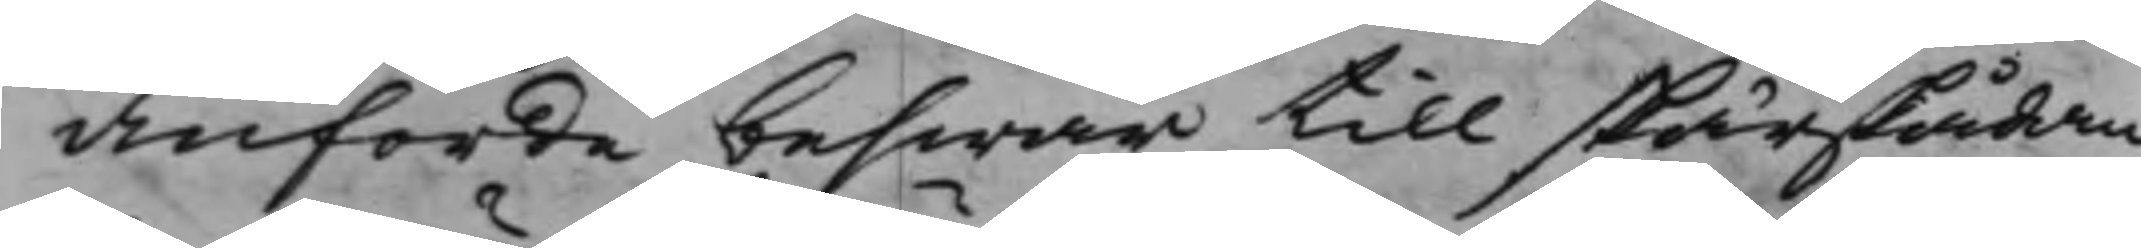Anförde beswär till skärskådan¬
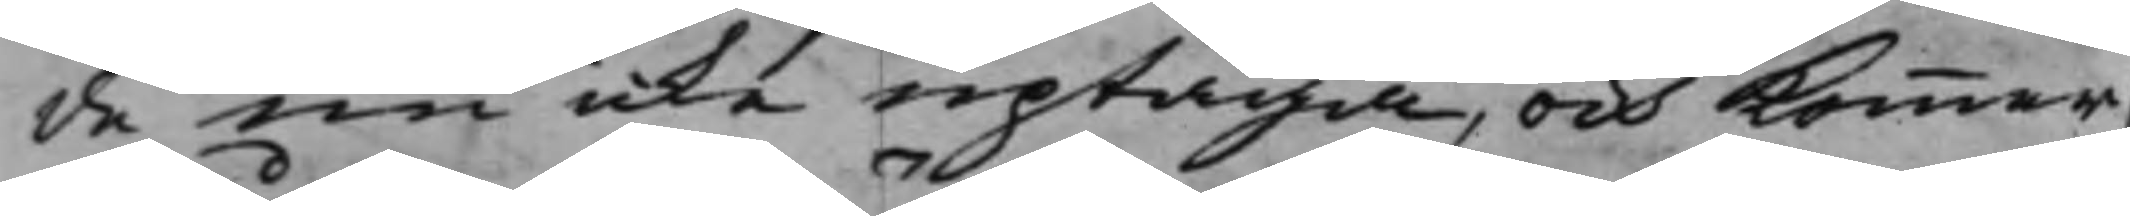de nu icke uptaga, och Kommer
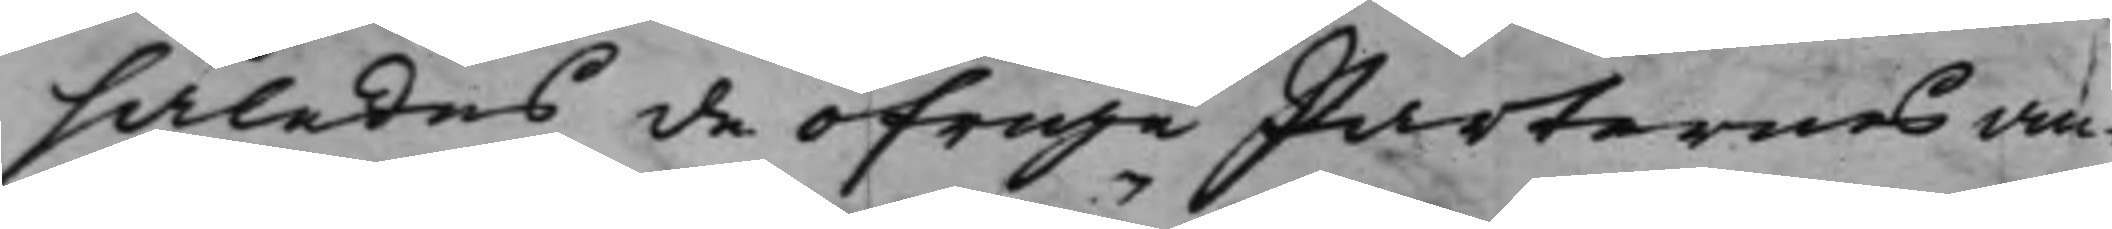således de öfrige Parternes an¬
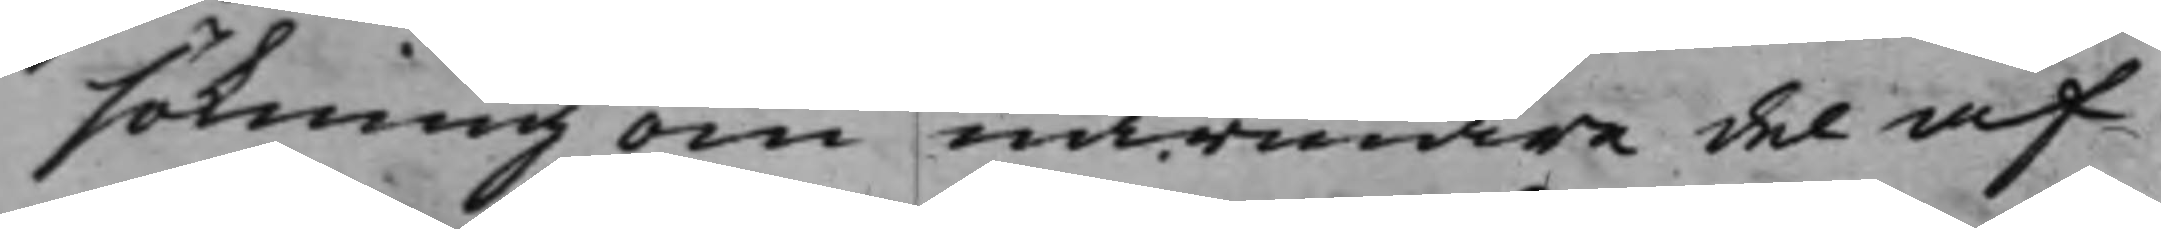sökning om närmare del af
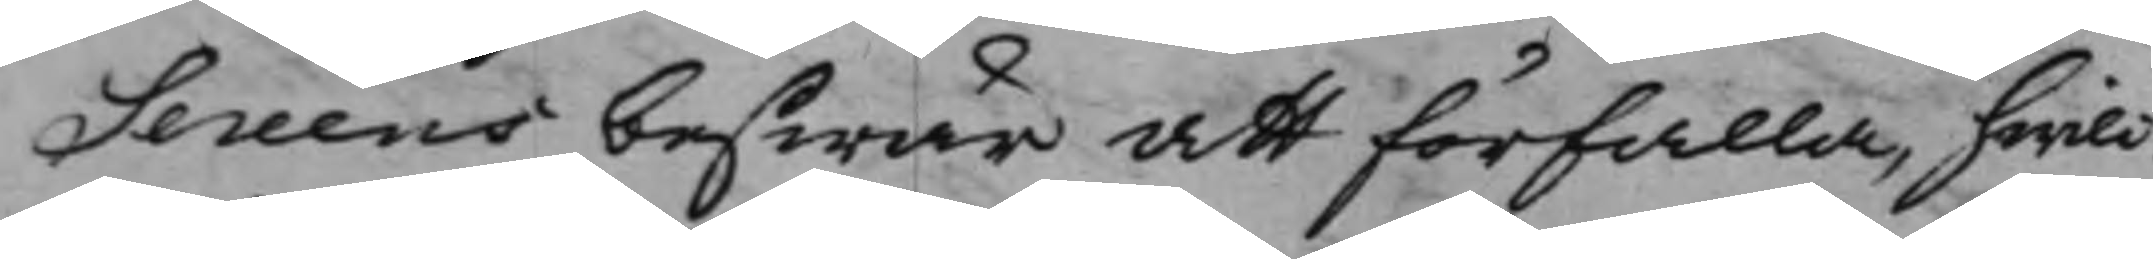Sereens beswär att förfalla, hwilc¬
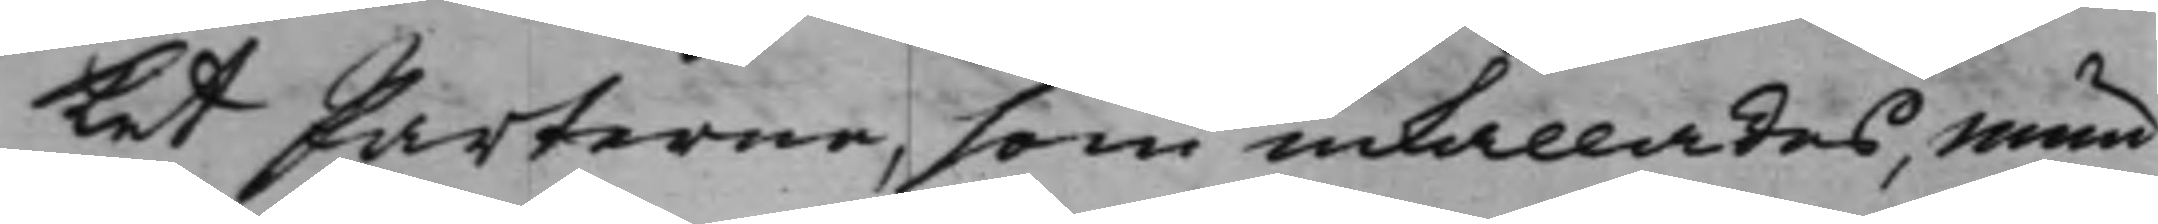ket Parterne, som inkallades, mun¬
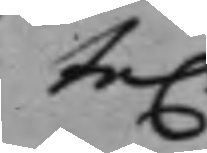te.
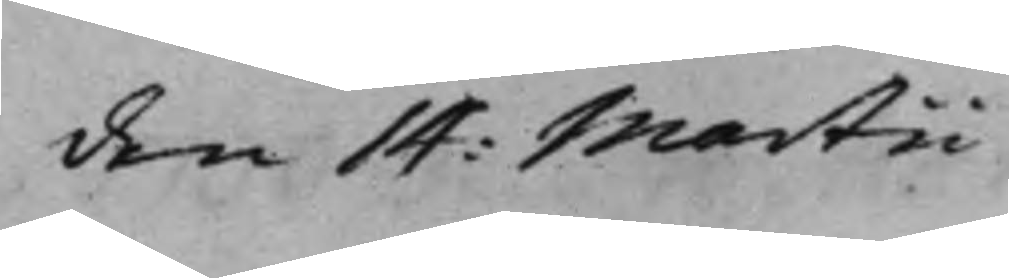den 14: Martii
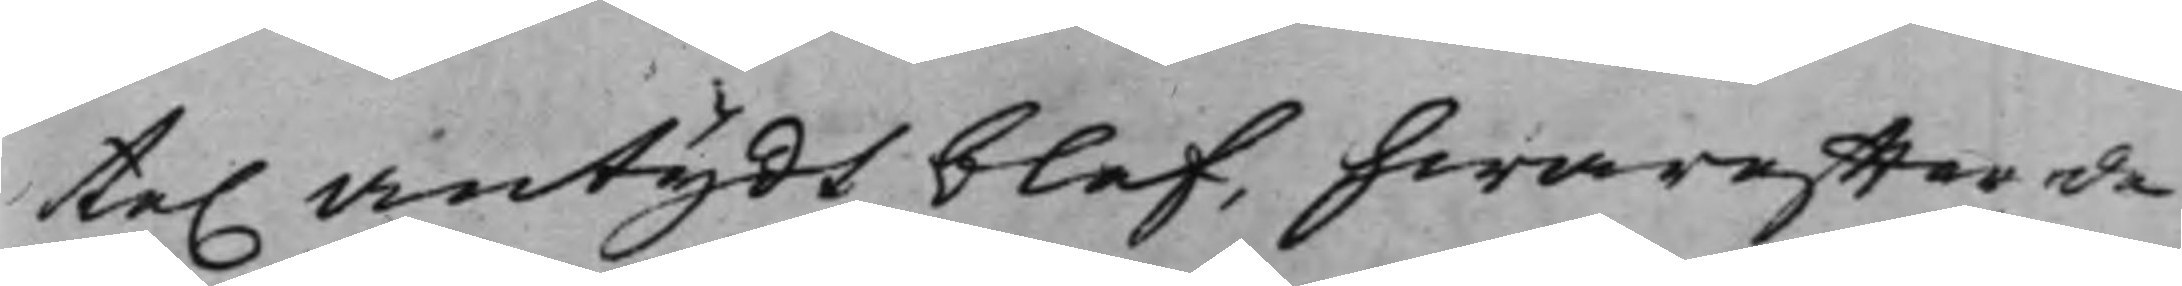te. antydt blef, hwareffter de
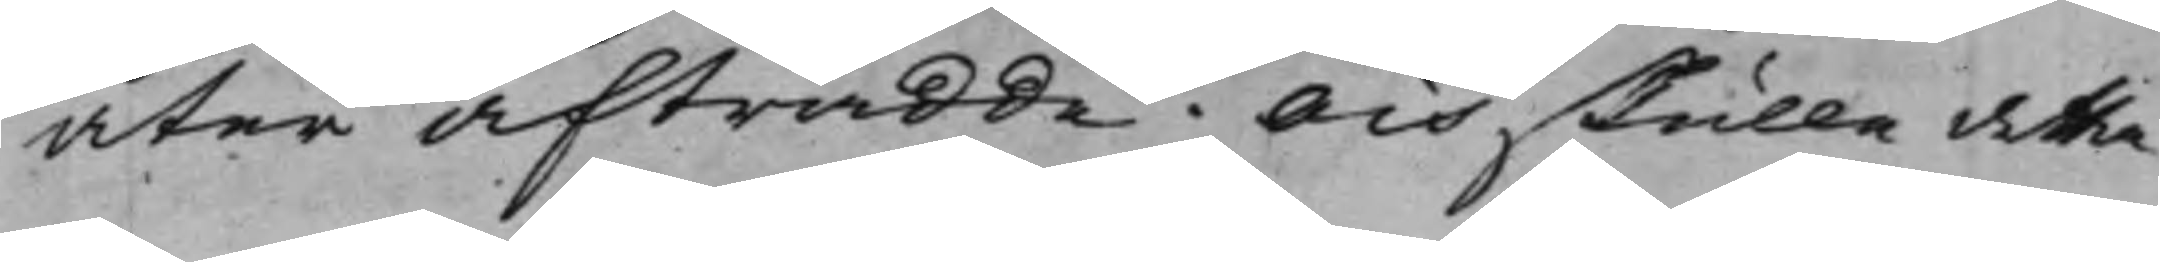åter afträdde. Och skulle detta
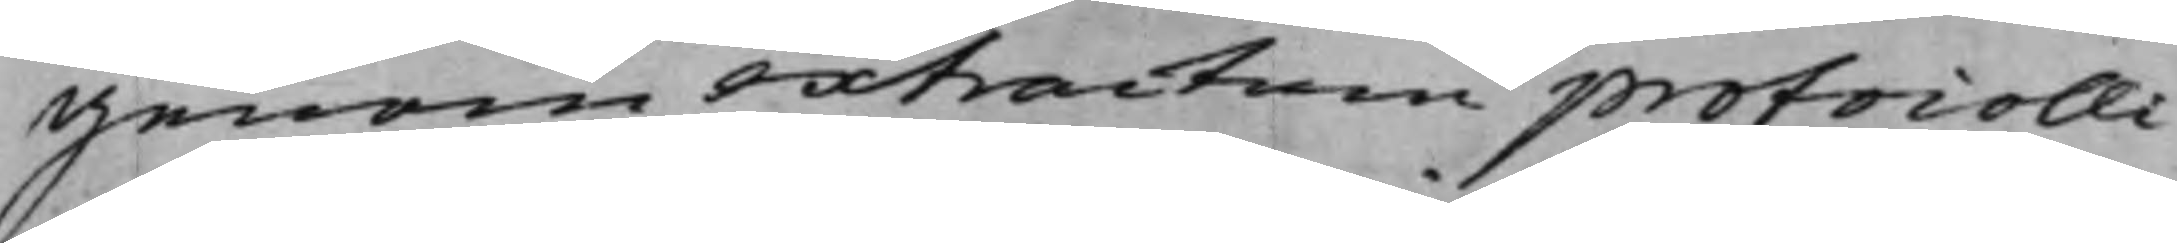genom extractum protocolli
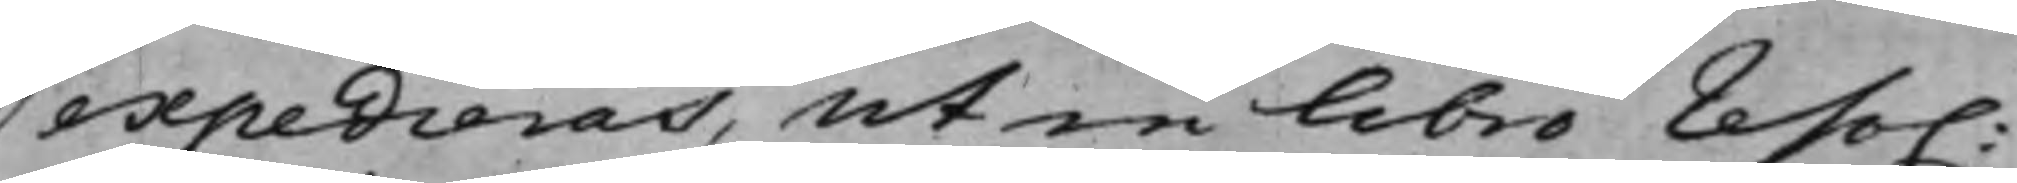expedieras, ut in libro reso.
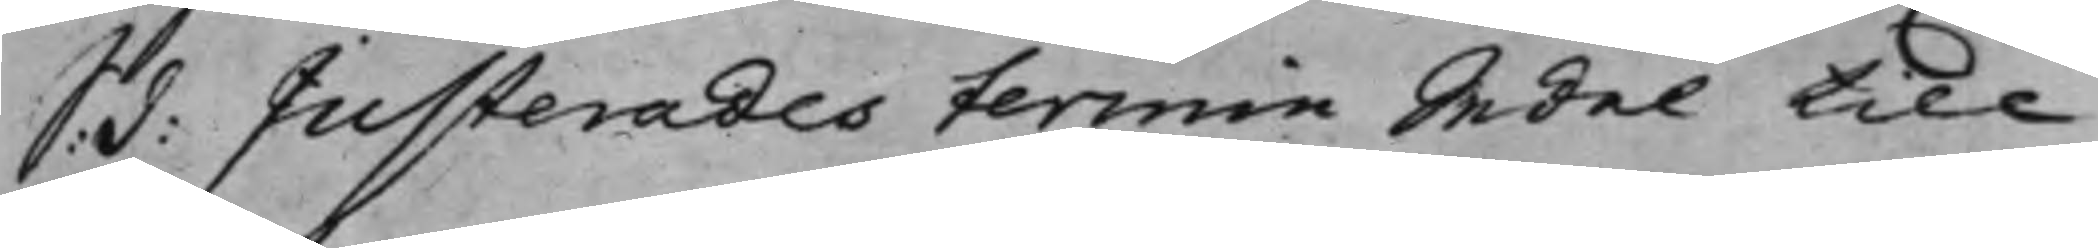S: d: Justerades termin Sedel till
